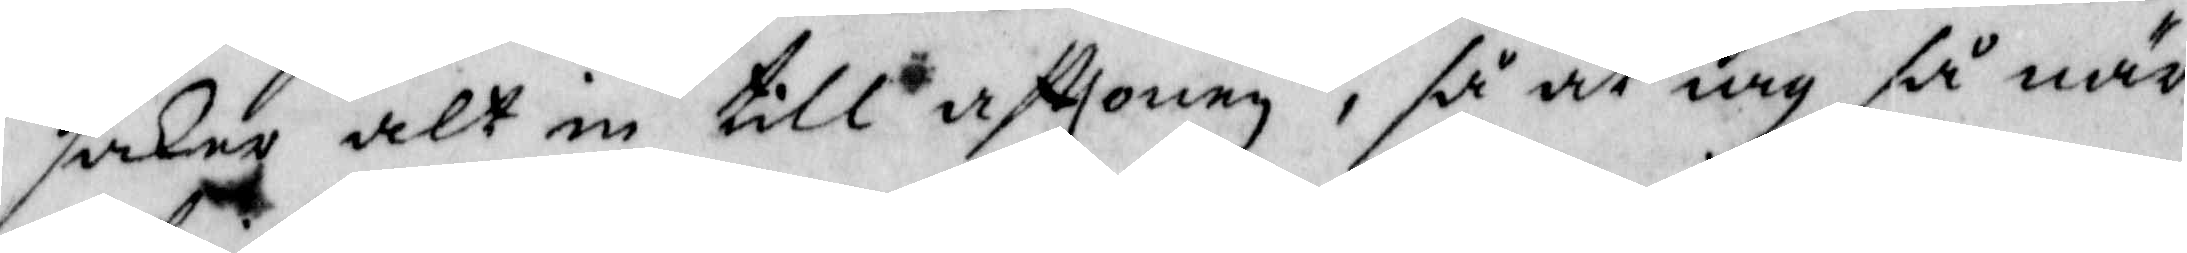saker alt in till afttonen, så at iag så när
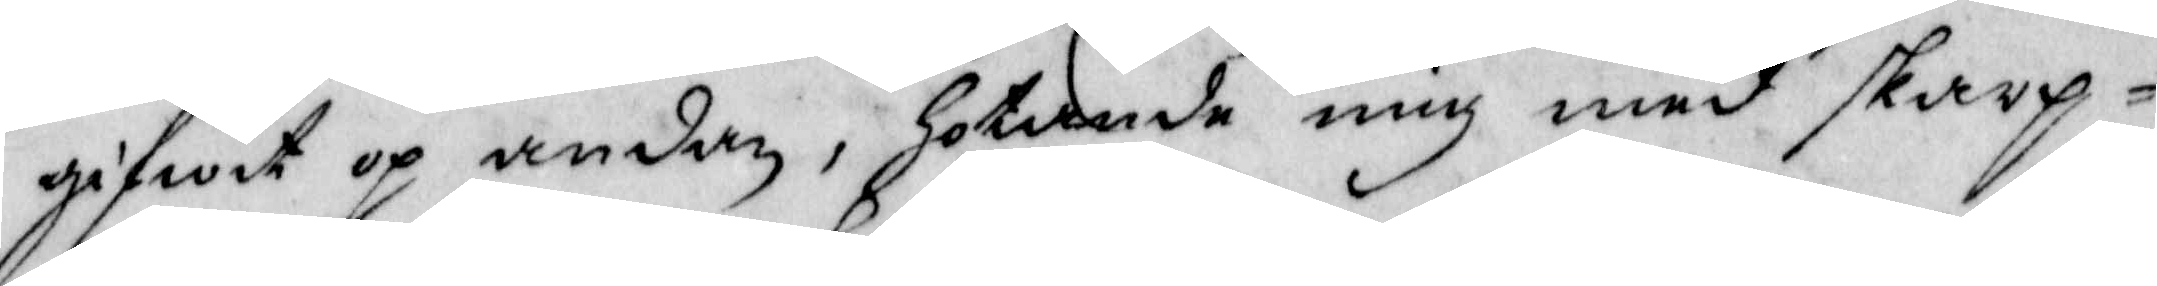gifwit op andan, Hotande mig med skarp¬
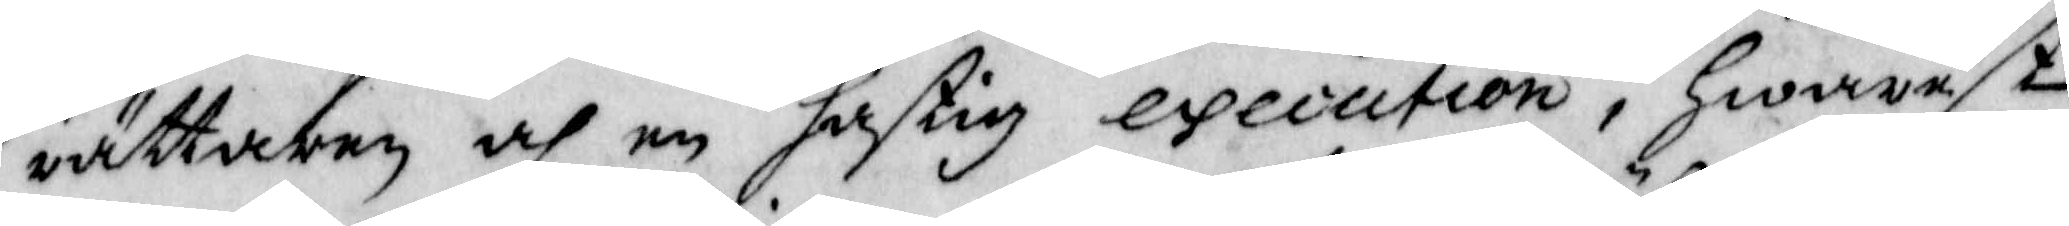rättaren och en hastig execution, Hwarest
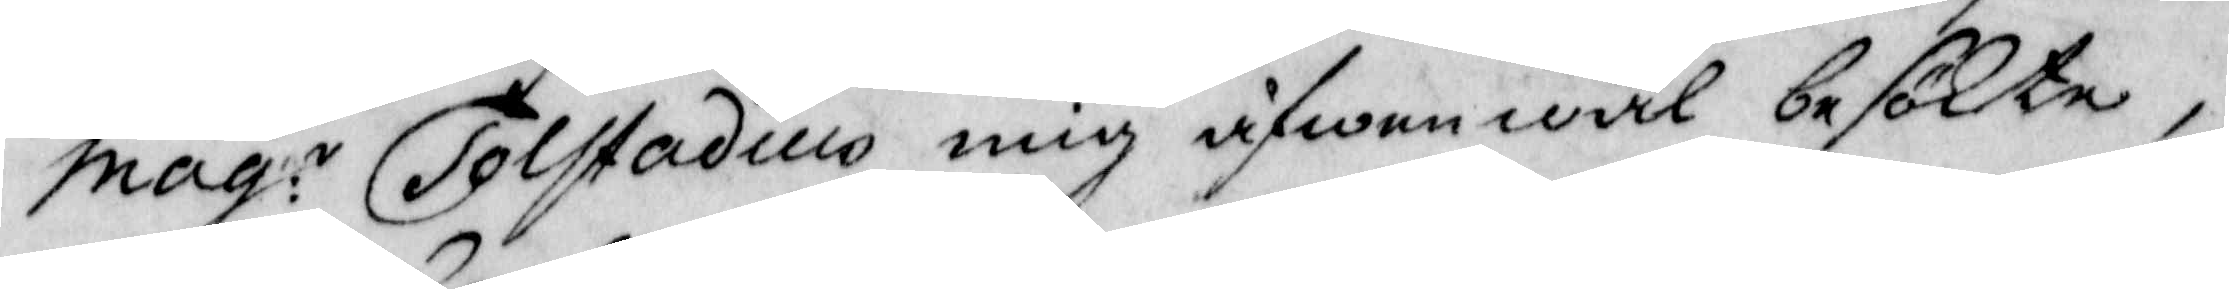Mag:n Tolfstadius mig äfwen wäl besökte,
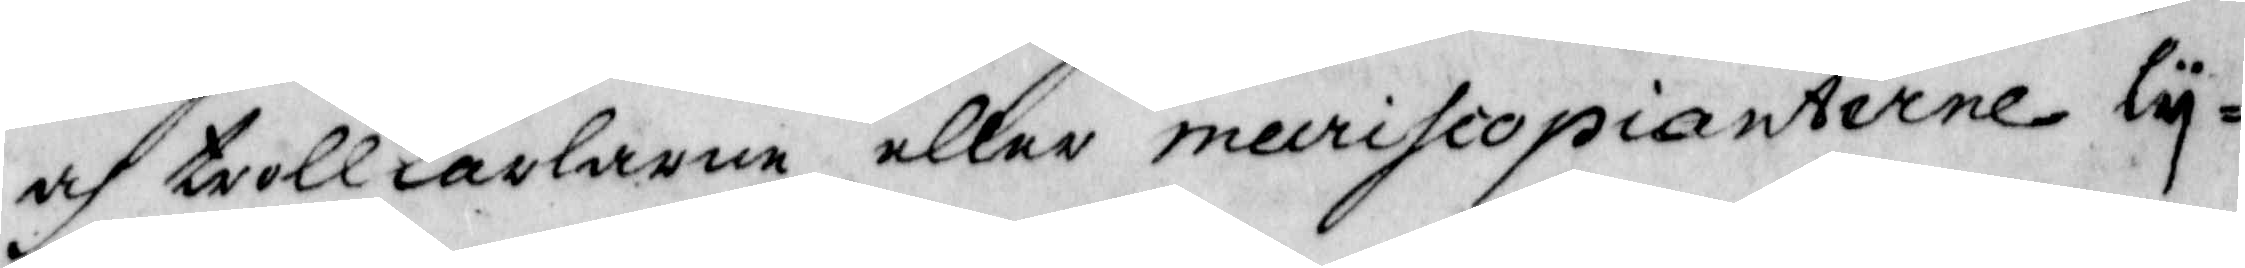af trollkarlarna eller mecrifiopianterne ly¬
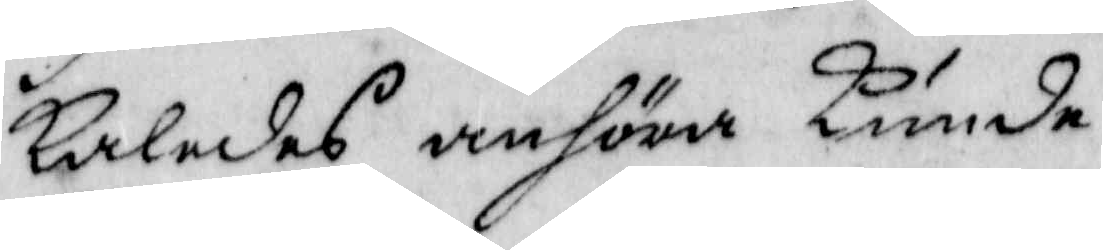kaledes anföre Kunde.
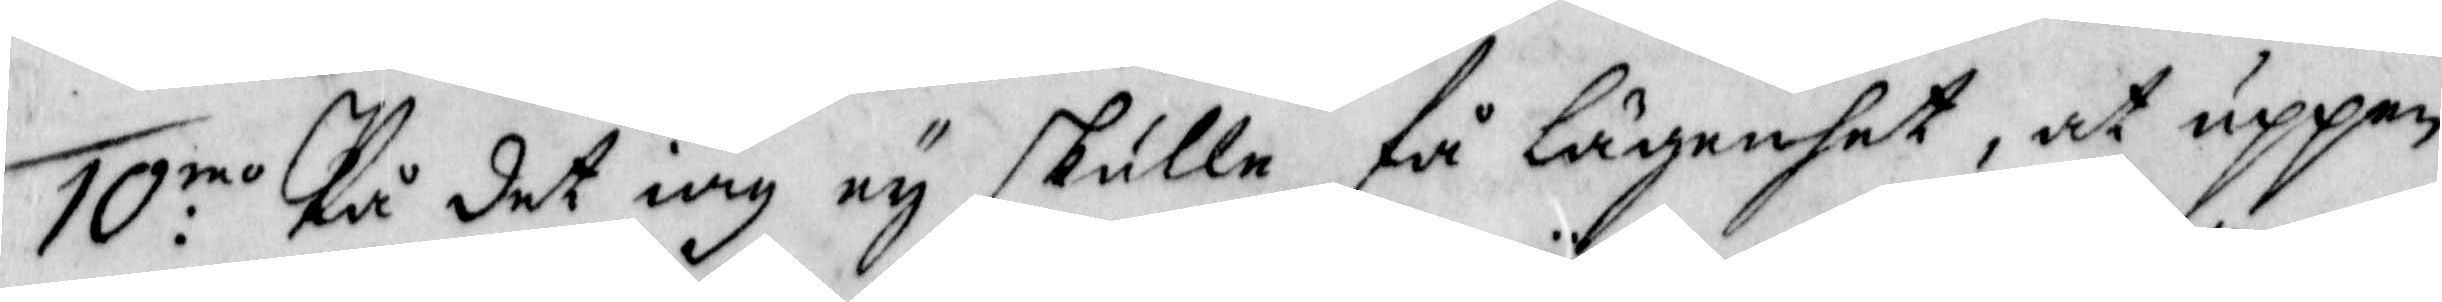10:mo På det iag ey skulle få lägenhet, at uppen¬
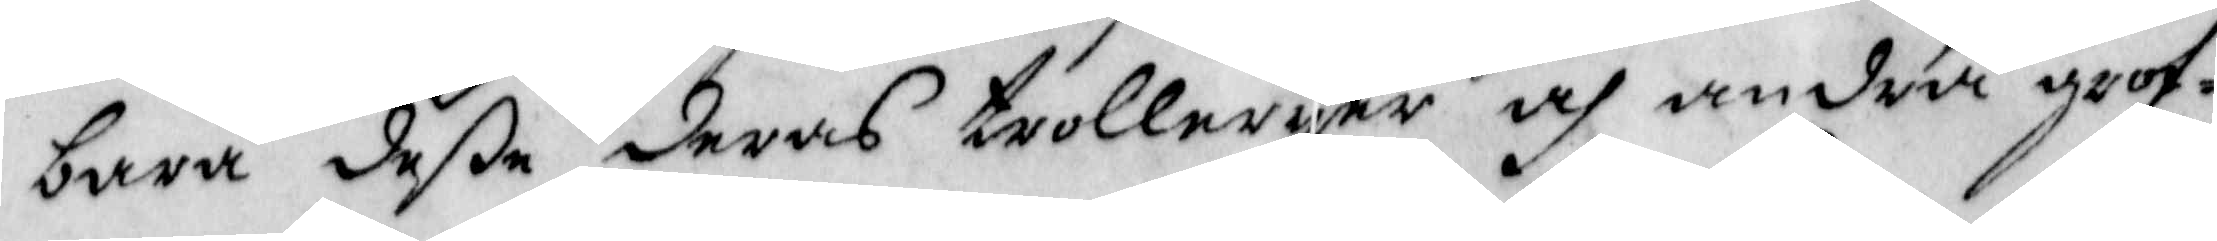bara deße deras trolleryer och andra grof¬
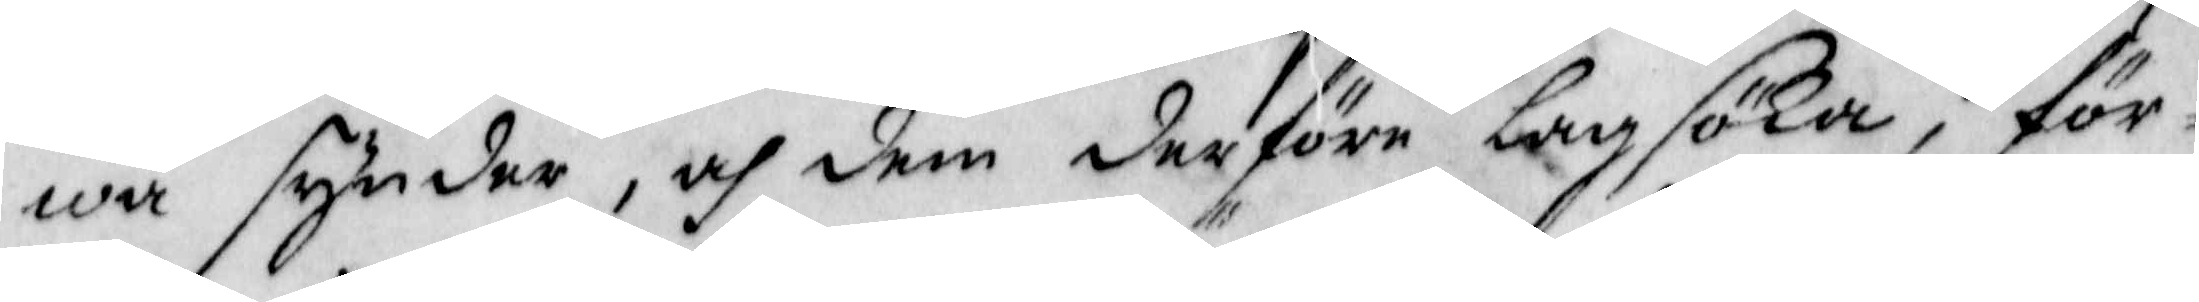wa synder, och dem derföre lagsöka, för¬
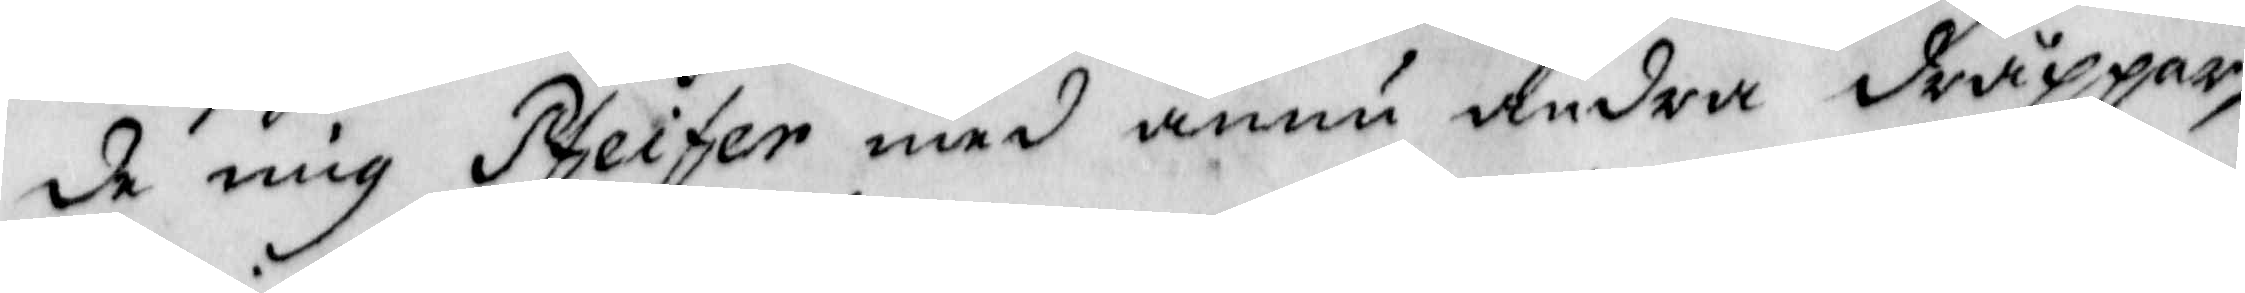de mig Pfeifer med ännu andra dråppar,
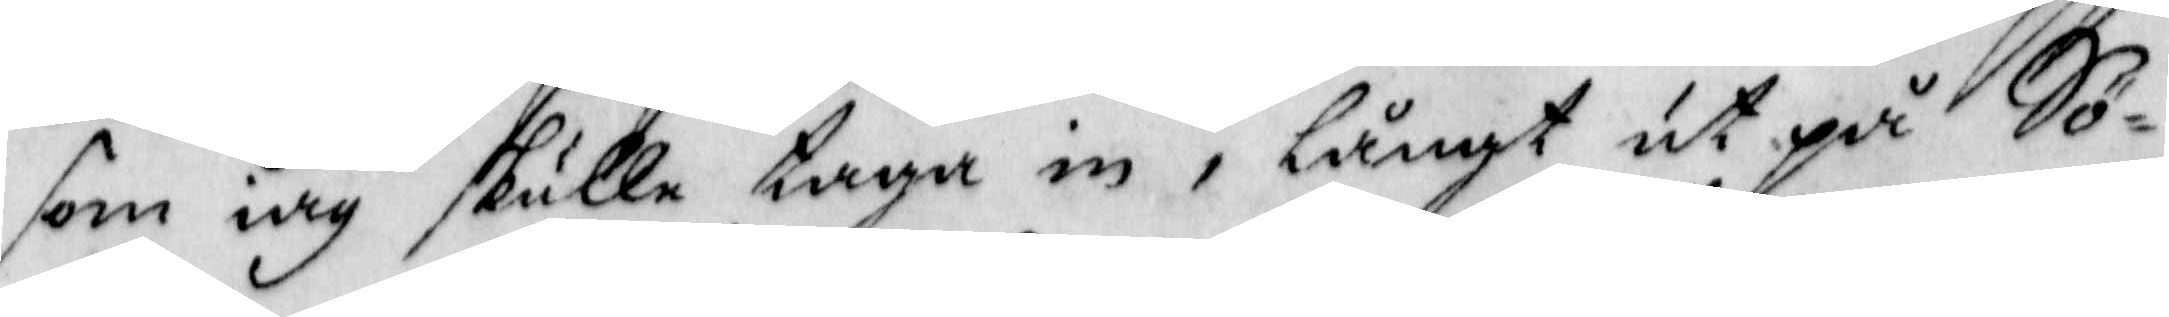som iag skulle taga in, långt ut på Sö¬
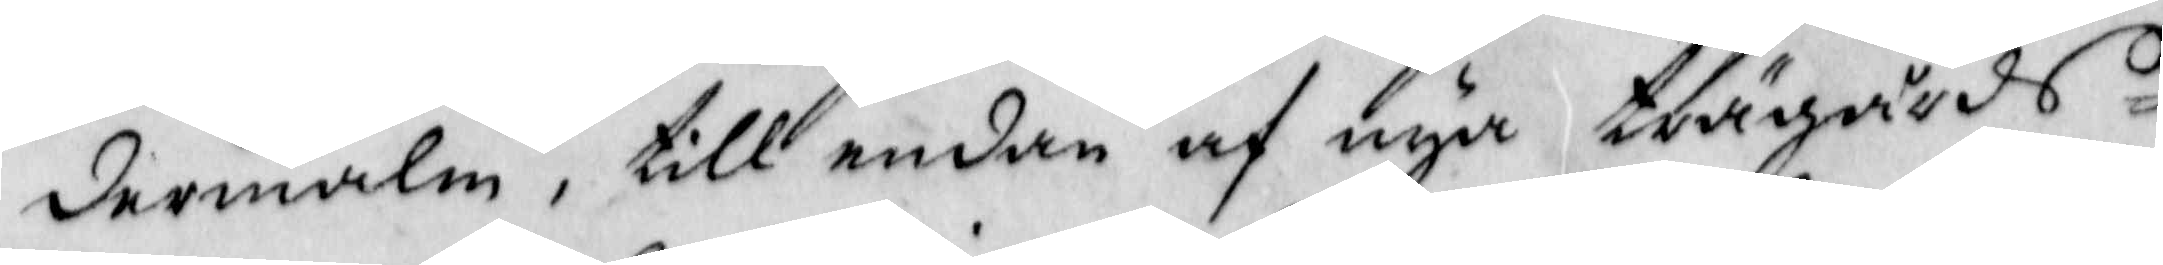dermalm, till endan af nya trägårds¬
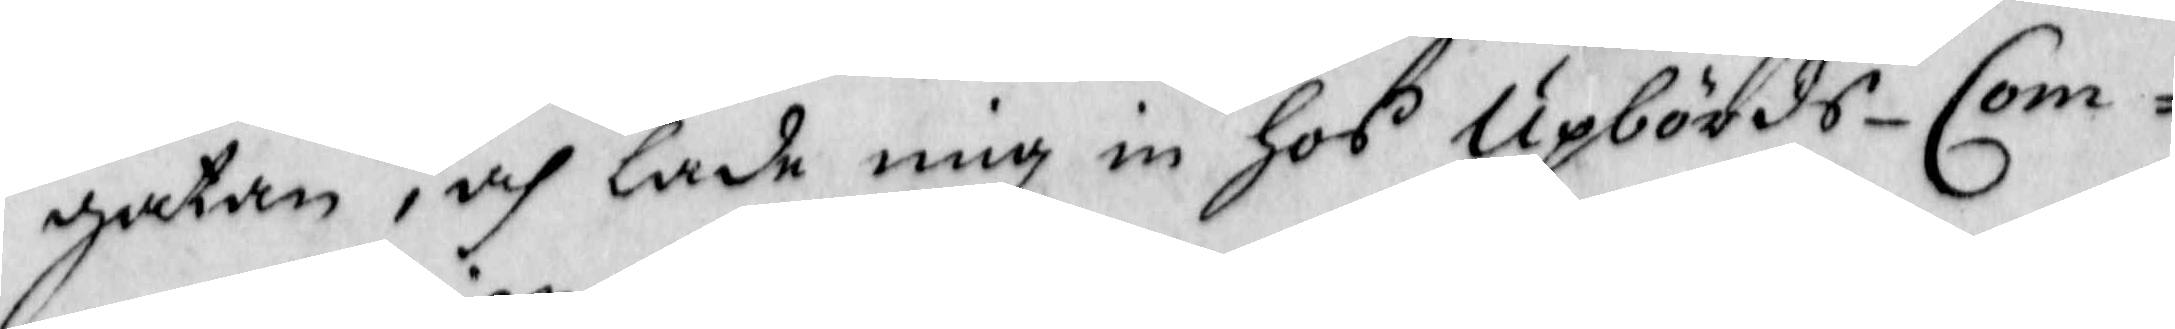gatan, och lade mig in Hos Upbörds-Com¬
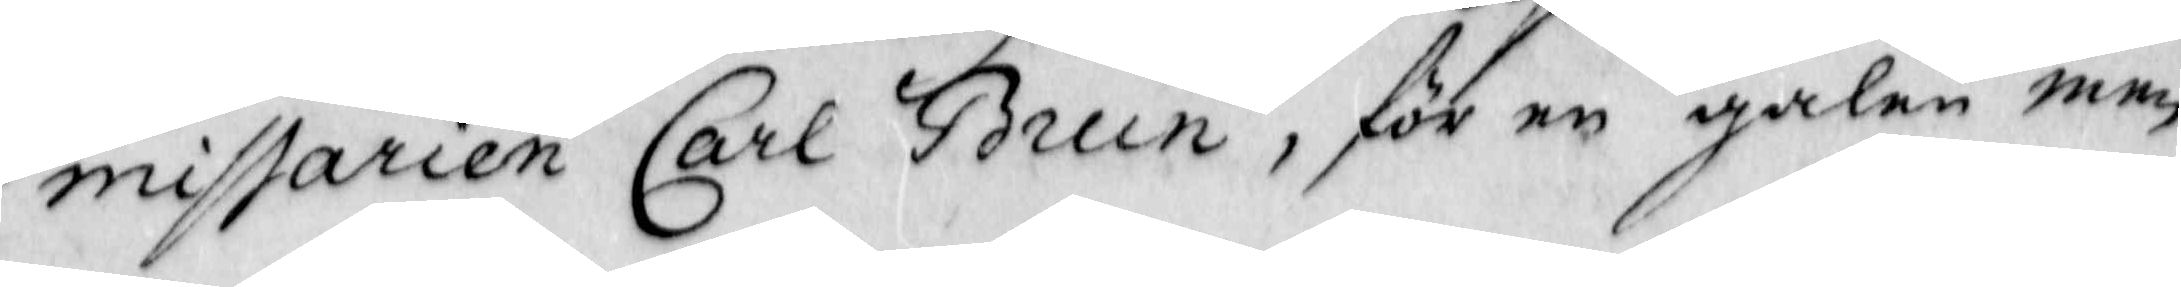missarien Cark Brun, för en galen men¬
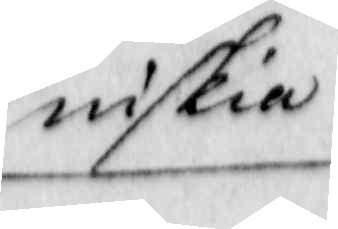niskia
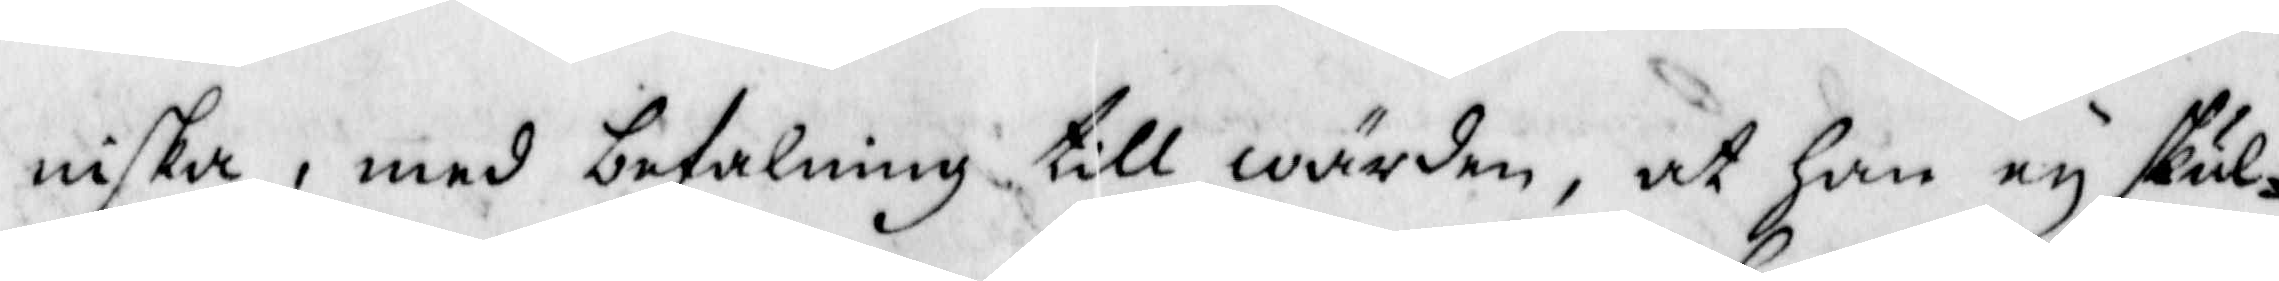niska, med befalning till wärden, at Han ey skul¬
